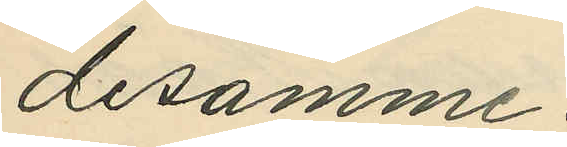desamme.
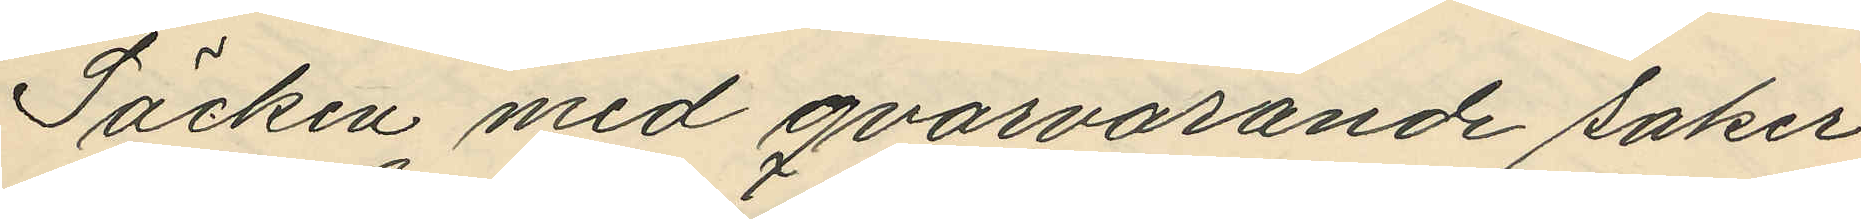Säcken med qvarvarande saker,
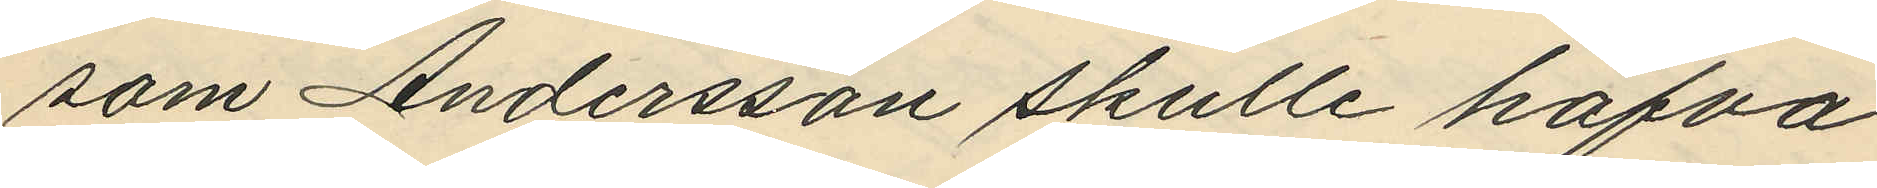som Andersson skulle hafva
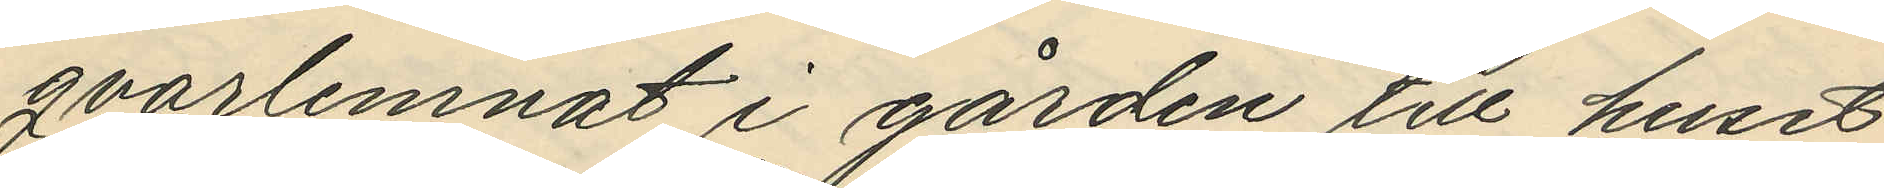qvarlemnat i gården till huset
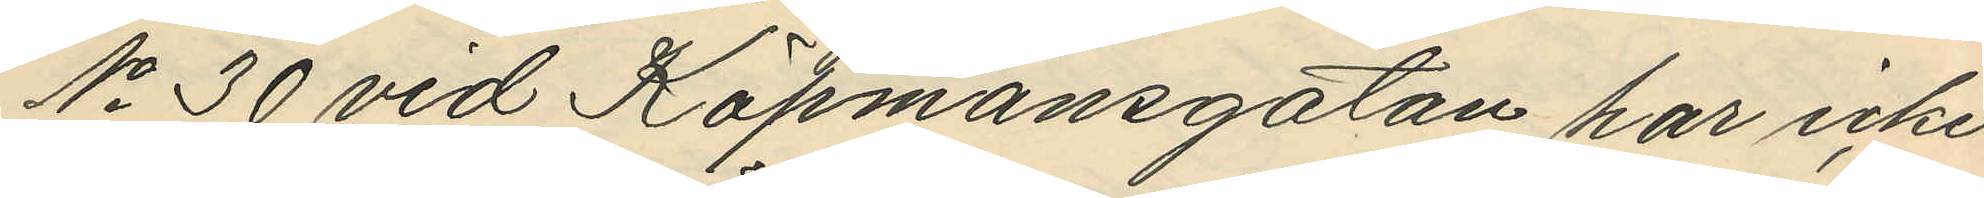No 30 vid Köpmansgatan har icke
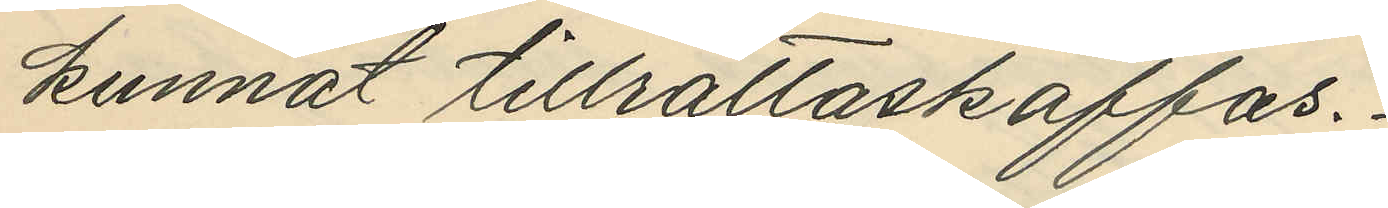kunnat tillrättaskaffas.
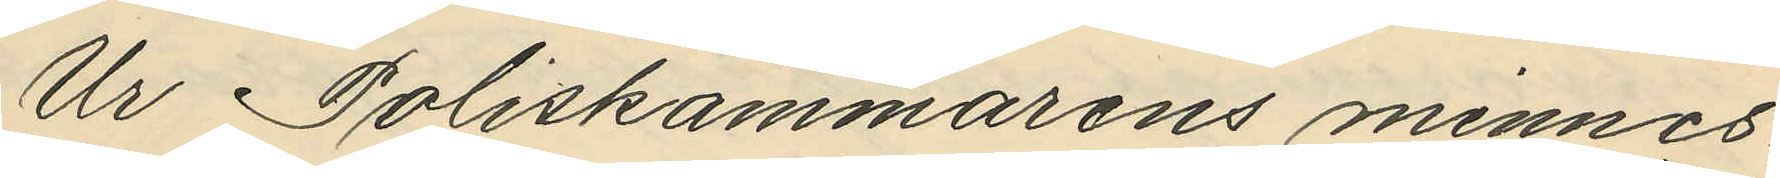Ur Poliskammarens minnes¬
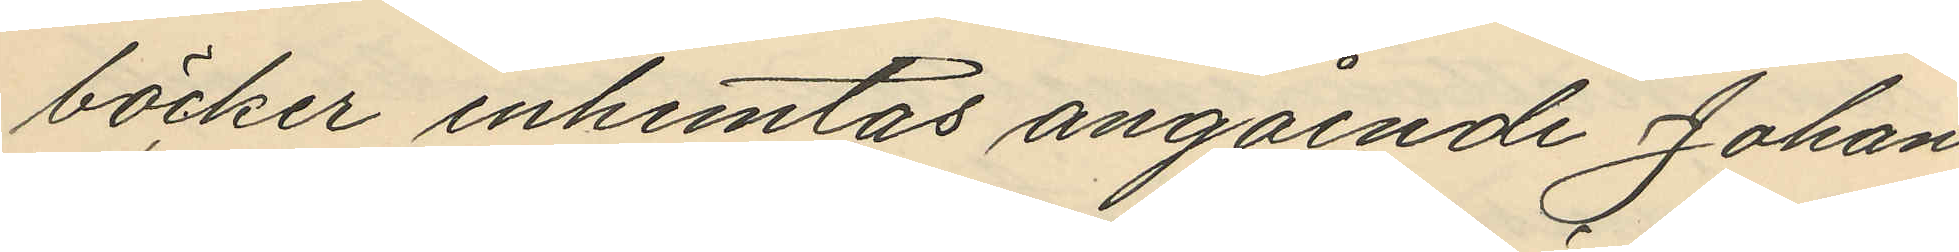böcker inhemtas angående Johan¬
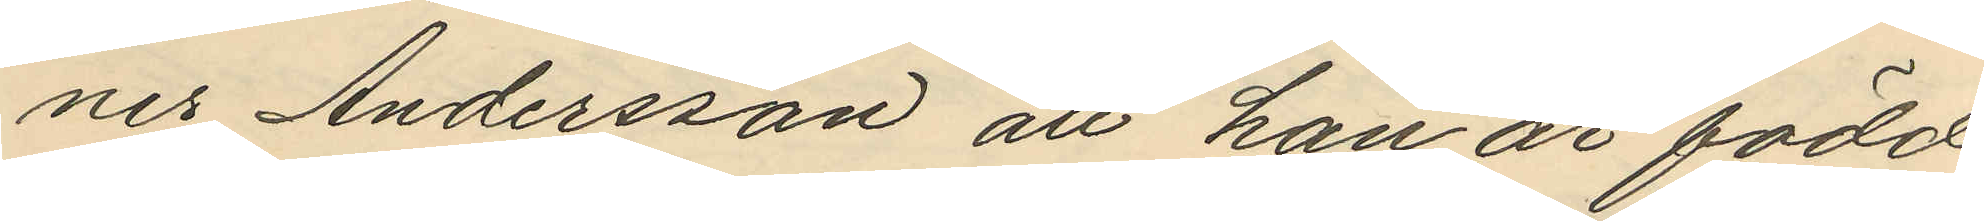nes Andersson att han är född
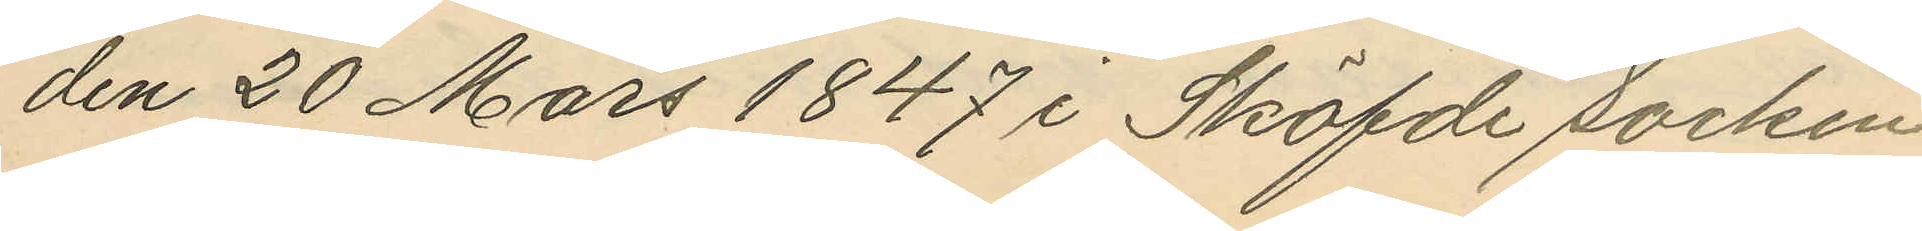den 20 Mars 1847 i Sköfde socken
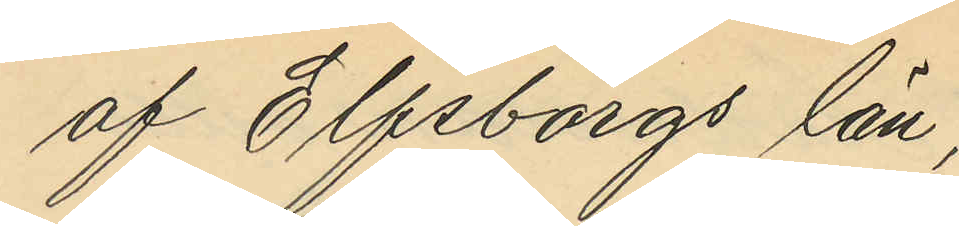af Elfsborgs län;
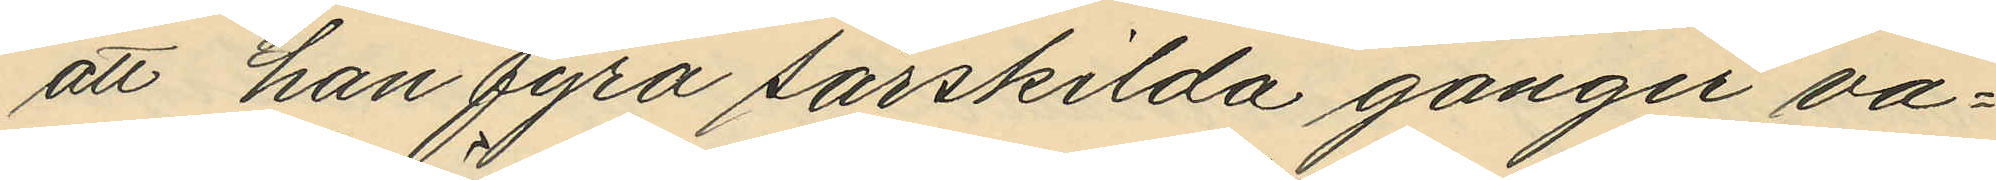att han fyra särskilda gånger va¬
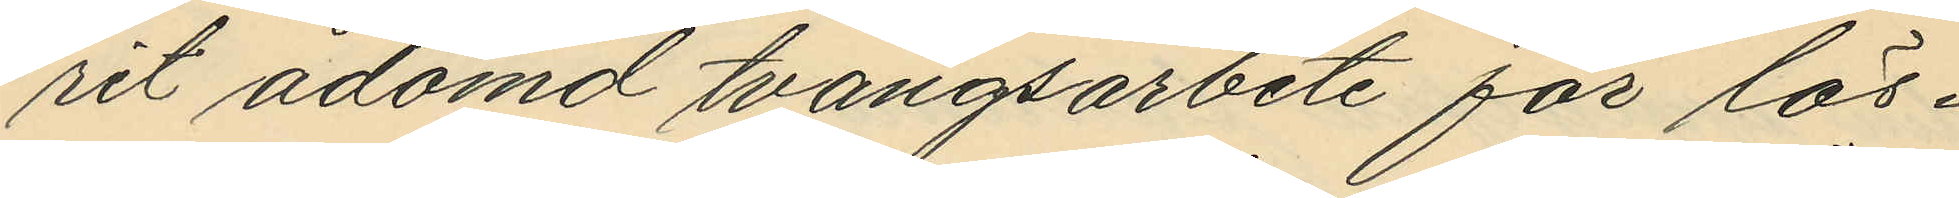rit ådömd tvångsarbete för lös¬
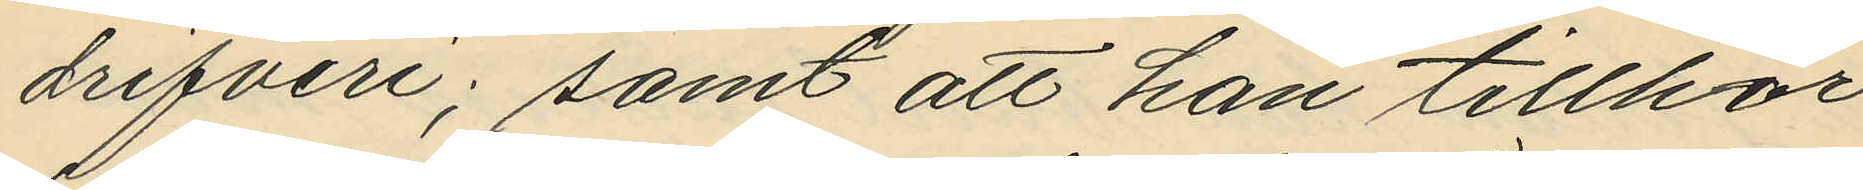drifveri; samt att han tillhör
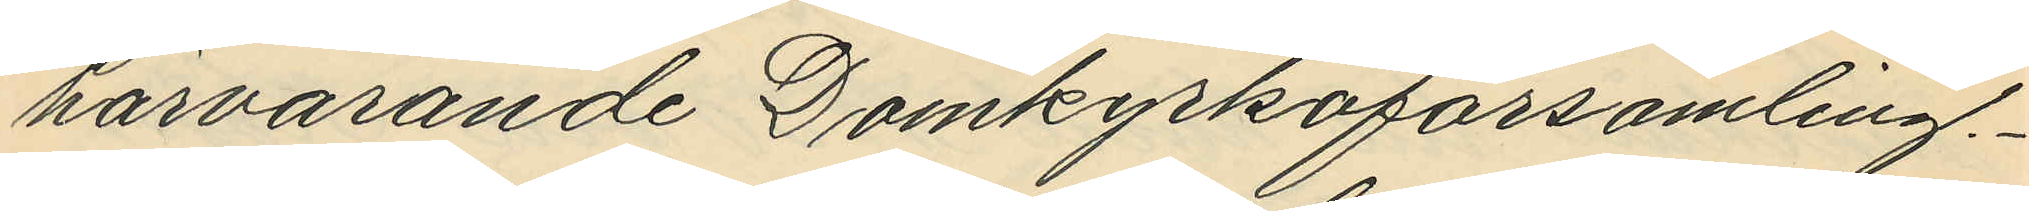härvarande Domkyrkoförsamling.
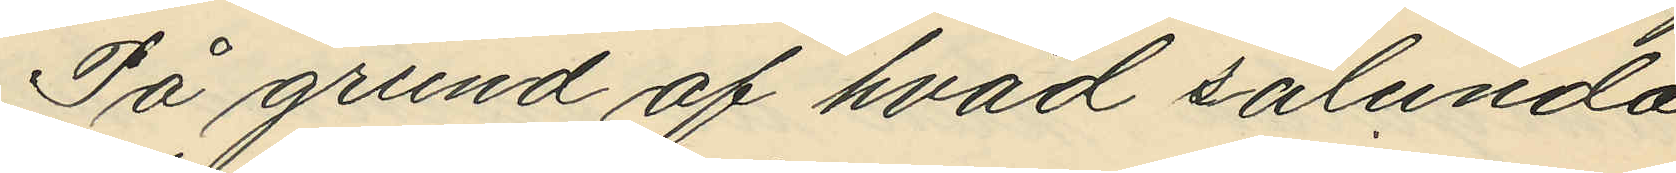På grund af hvad sålunda
